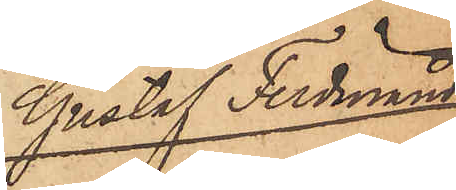Gustaf Ferdinand
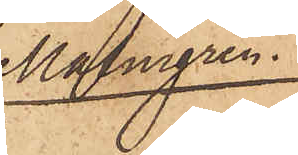Malmgren
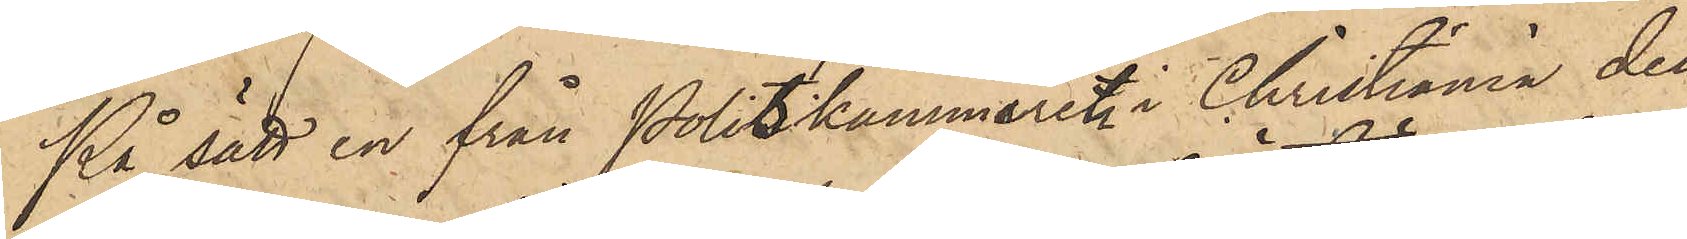På sätt en från Politikammaren i Christiania den
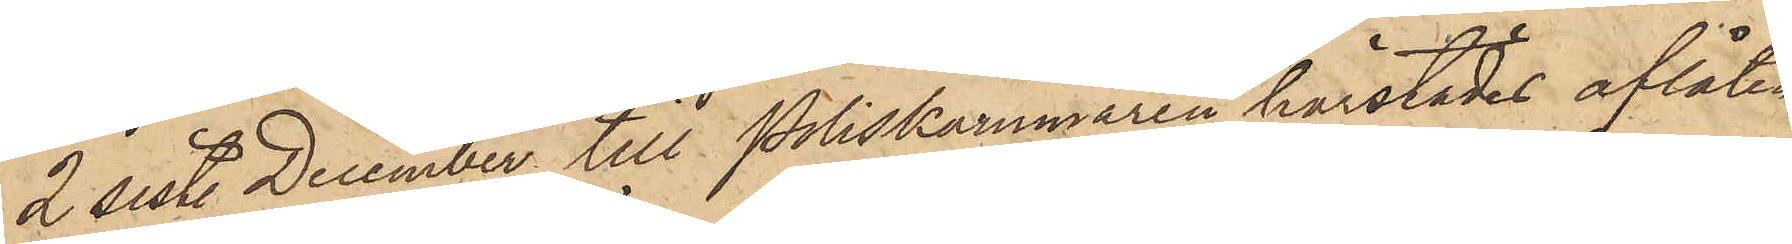2 sist. December till Poliskammaren härstädes aflåten
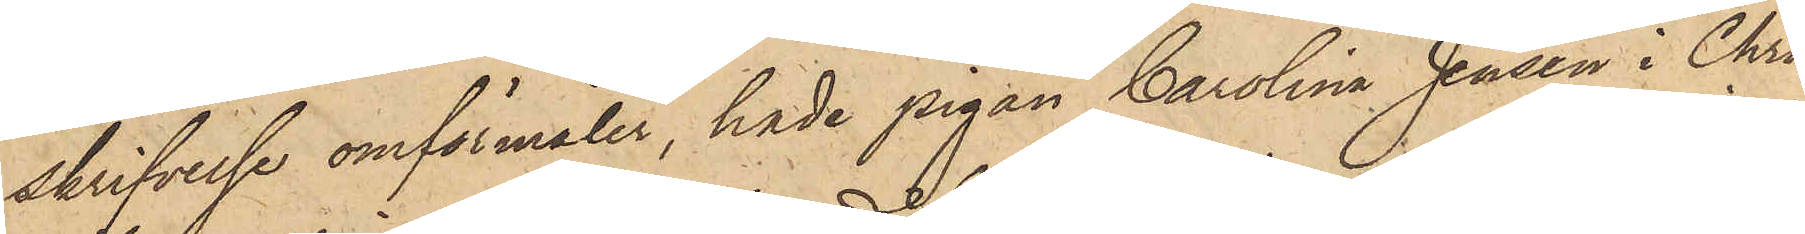skrifvelse omförmäler, hade pigan Carolina Jensen i Chri¬
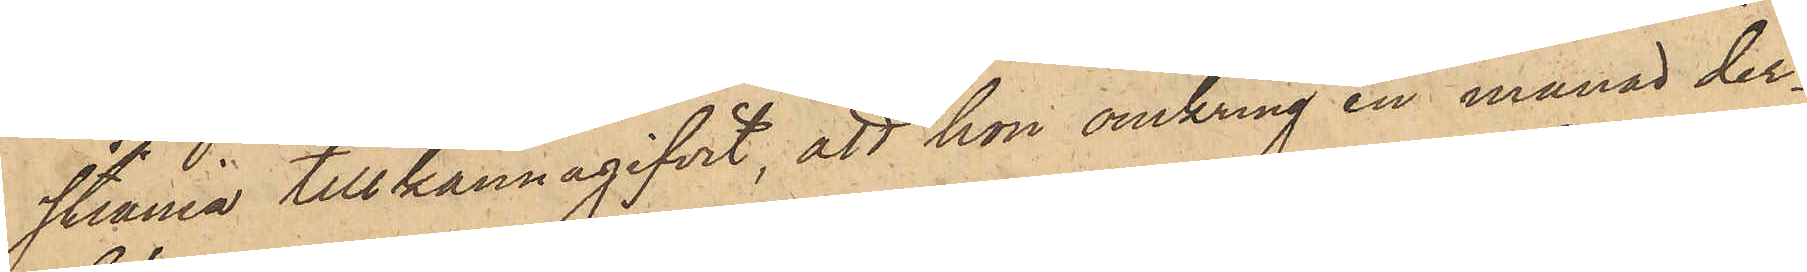stiania tillkännagifvit, att hon omkring en månad der¬
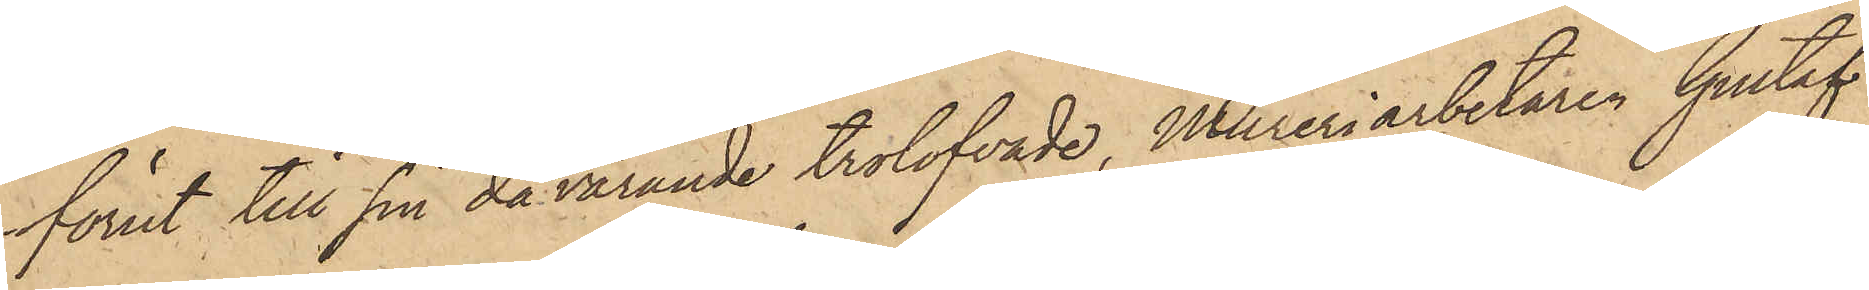förut till sin dåvarande trolofvade, Mureriarbetaren Gustaf
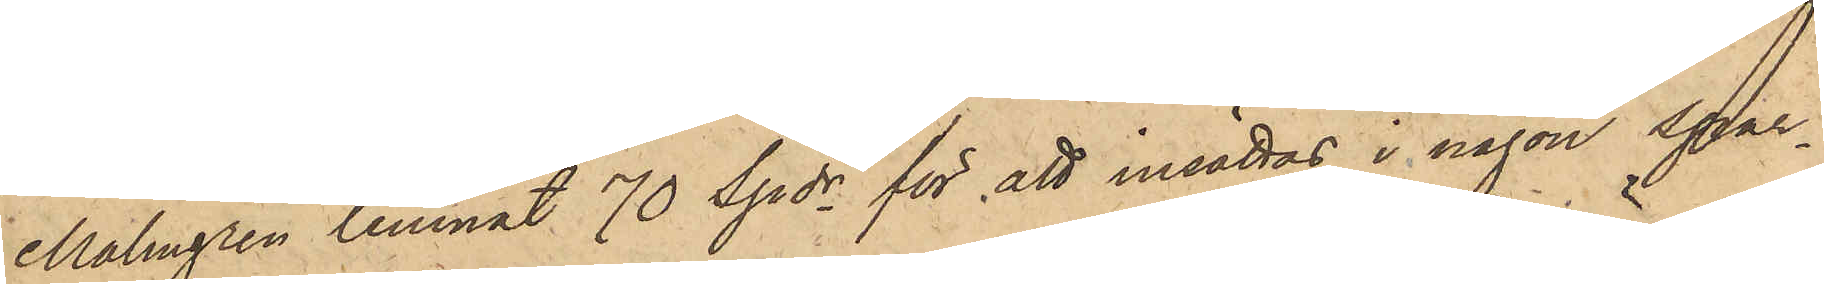Malmgren lemnat 70 Spdr för att insättas i någon spar¬
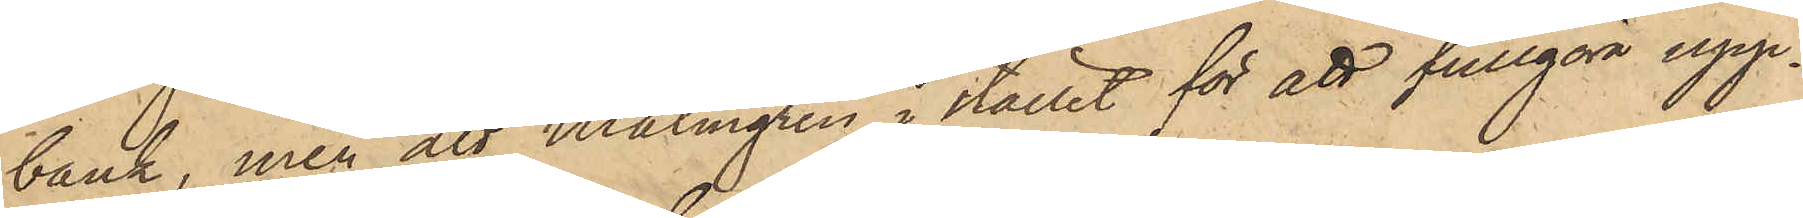bank, men att Malmgren i stället för att fullgöra upp¬
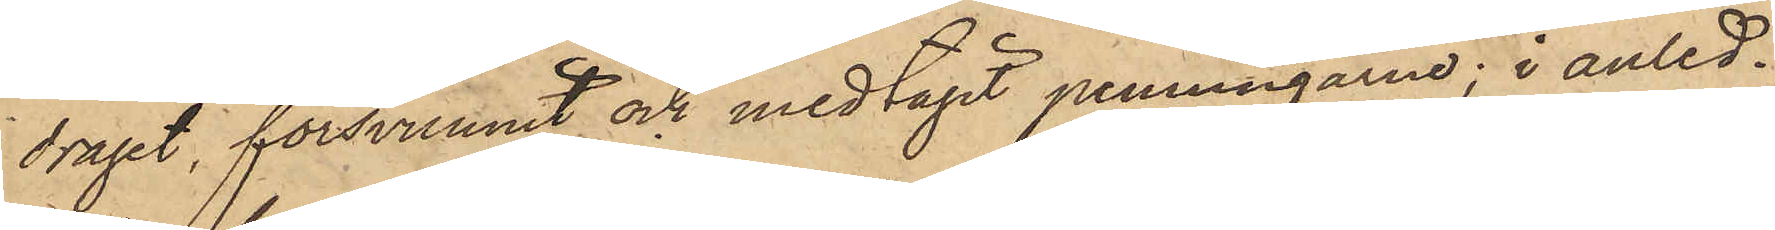draget, försvunnit och medtagit penningarne; i anled¬
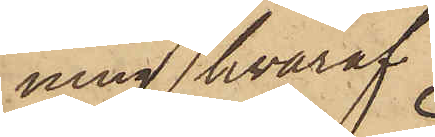ning hvaraf
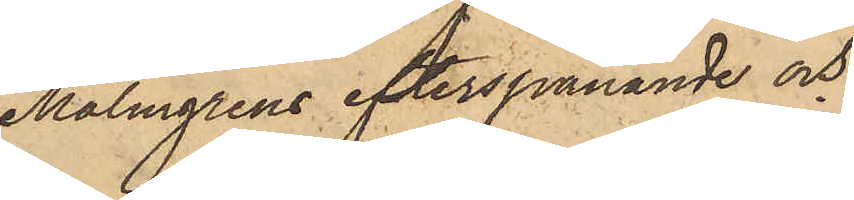Malmgrens efterspanande och
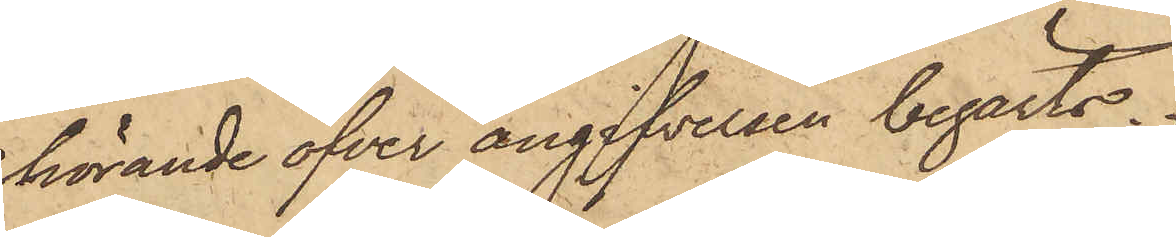hörande öfver angifvelsen begärts.
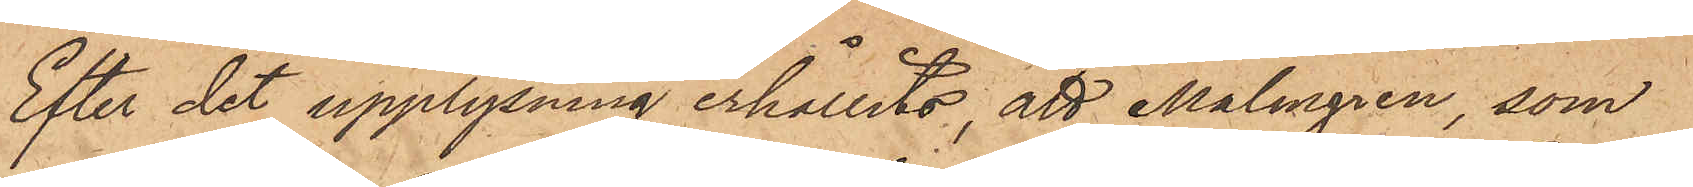Efter det upplysning erhållits, att Malmgren, som
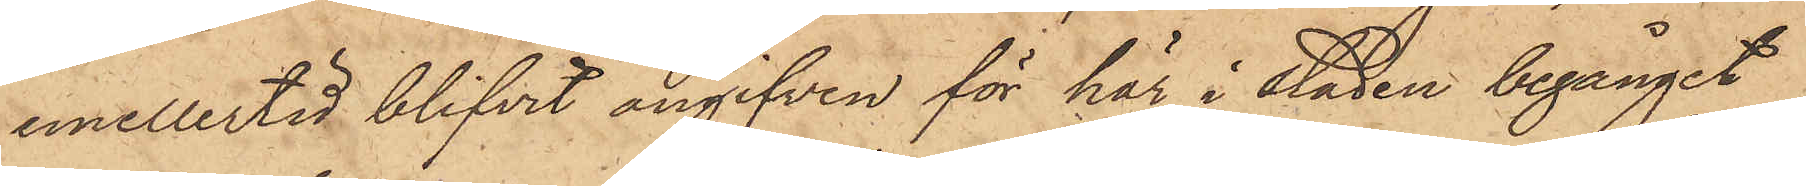emellertid blifvit angifven för här i staden begånget
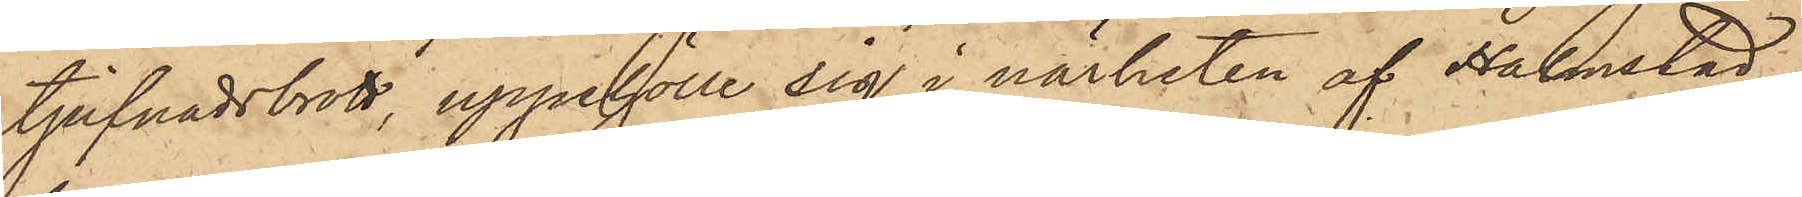tjufnadsbrott, uppehölle sig i närheten af Halmstad,
